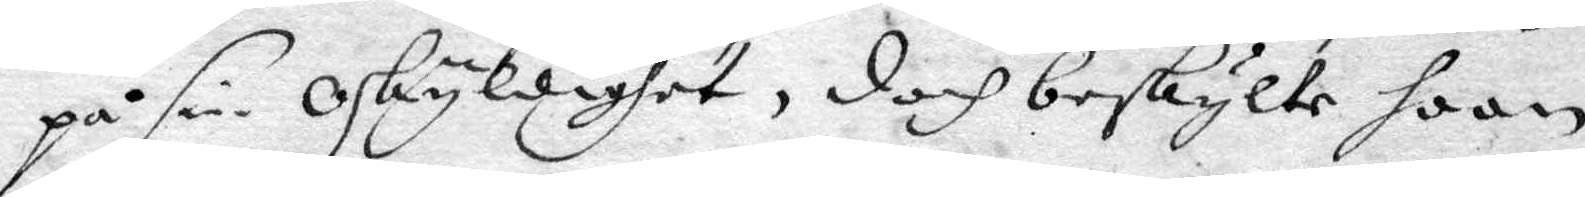på sin oskyldighet, doch beskylte hoon
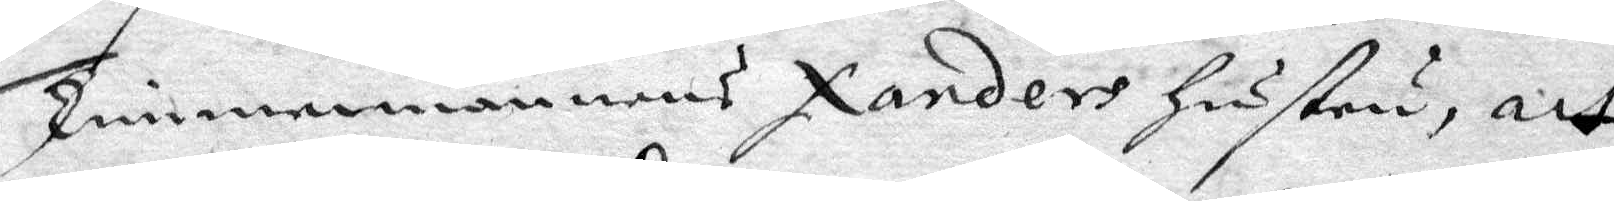Timmermannens Xanders hustru, att
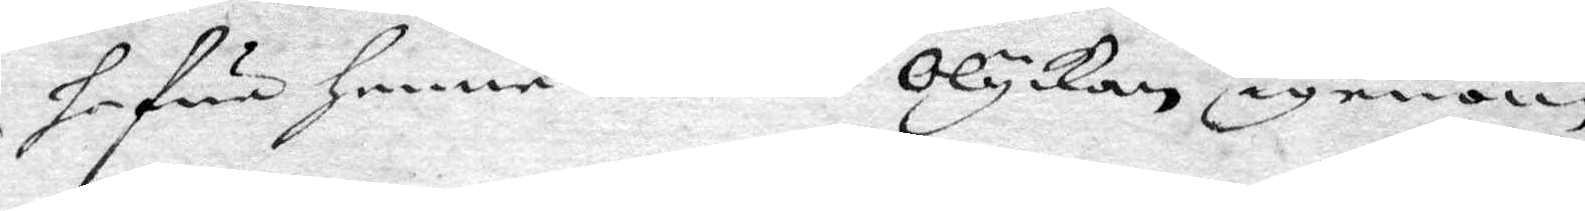hafwa henne denne Olyckan, igenom
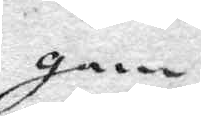gam¬
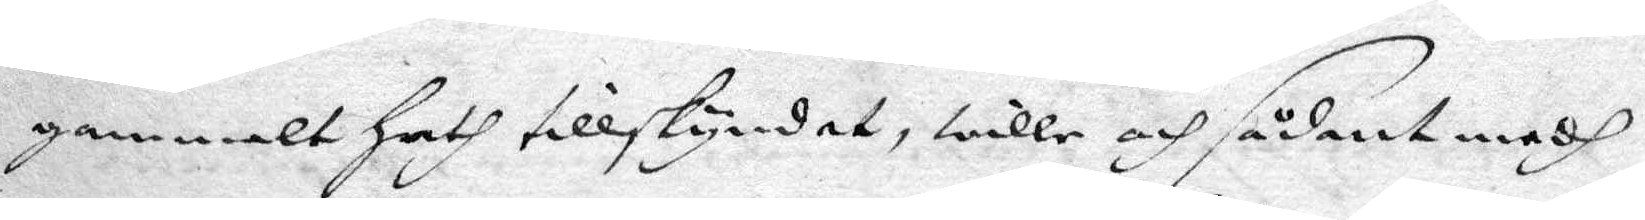gammalt hath tillskyndat, wille och sådant medh
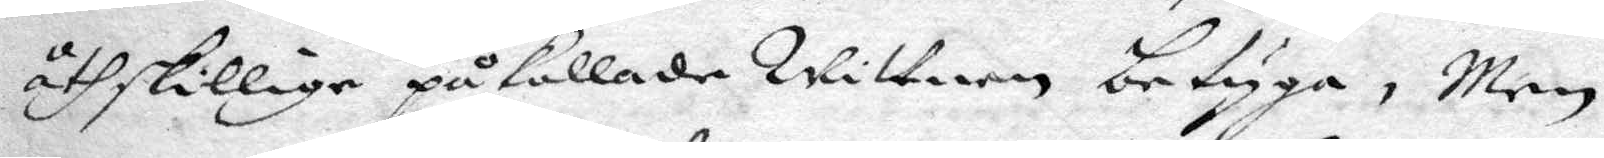åthskillige påkallade Wittnen betyga, Men
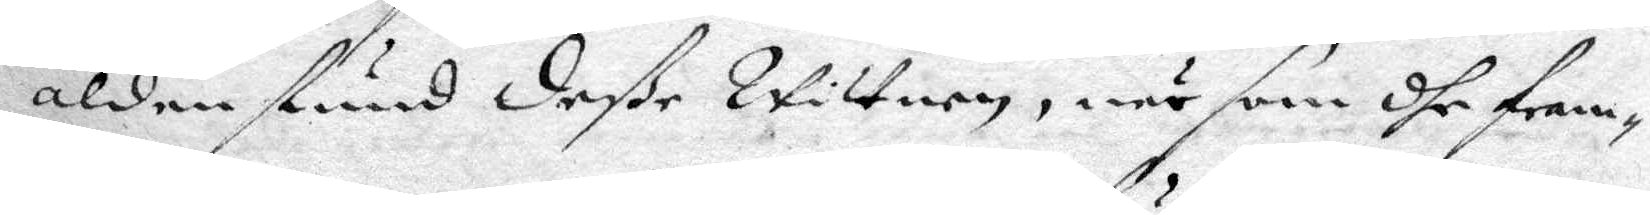aldenstund deße Wittnen, när som dhe fram¬
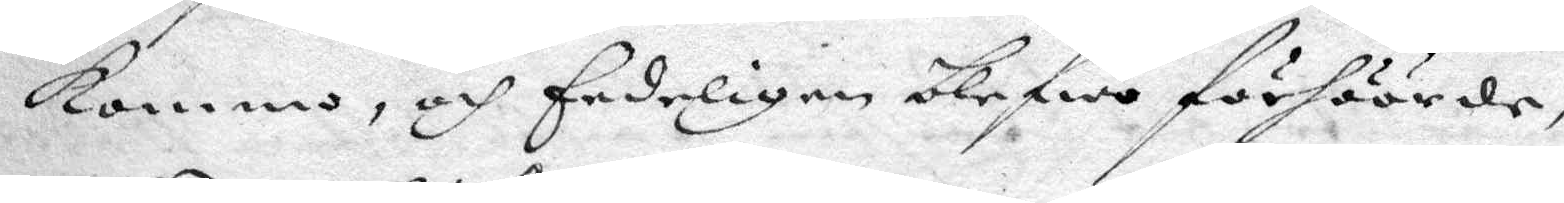kommo, och Eedeligen blefwo förhöörde,
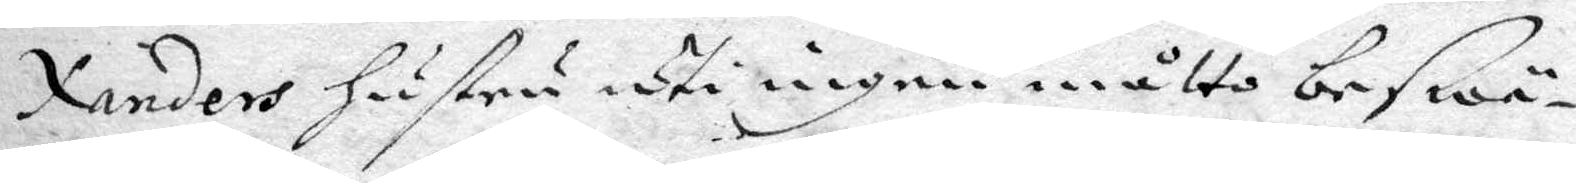Xanders hustru uti ingen måtto beswä¬
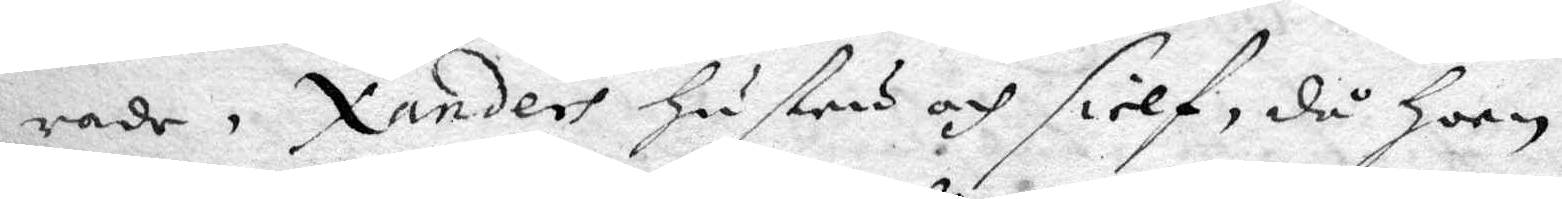rade, Xanders hustru och sielf, då hoon
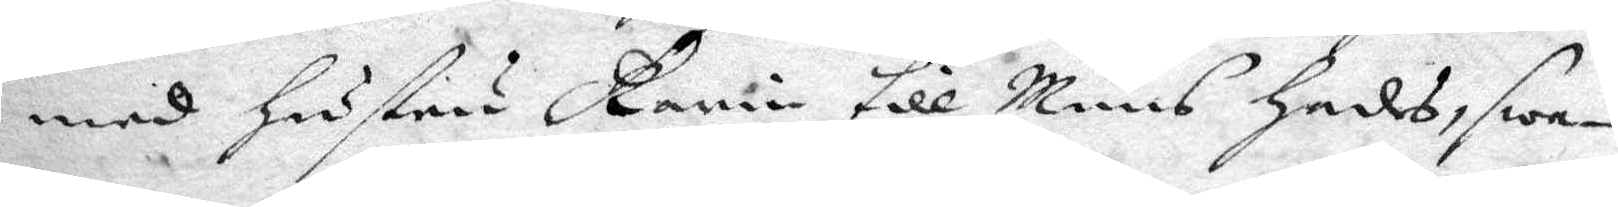med hustru Karin till Mund hades, swa¬
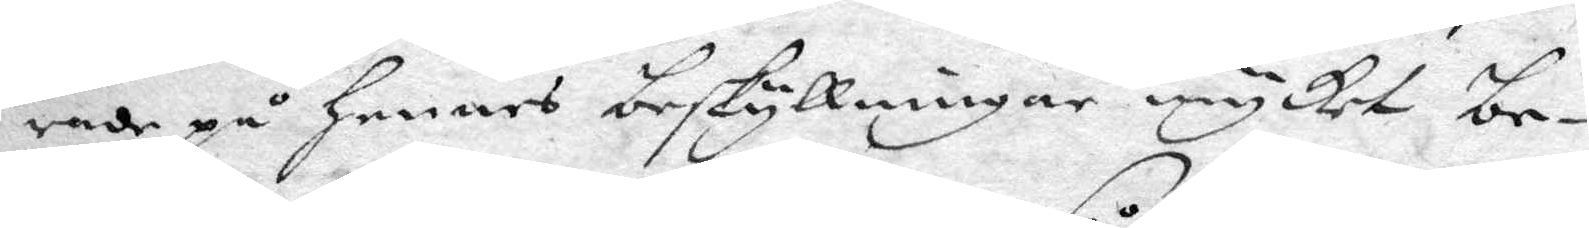rade på hennes beskyllningar mycket be¬
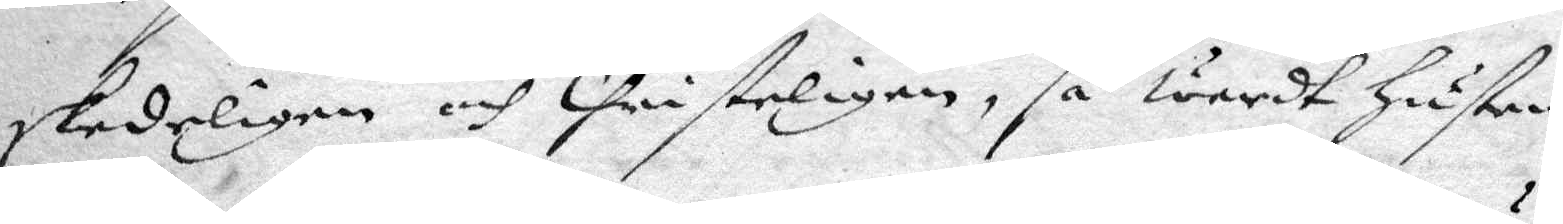skedeligen och Christeligen, så wardt hustru
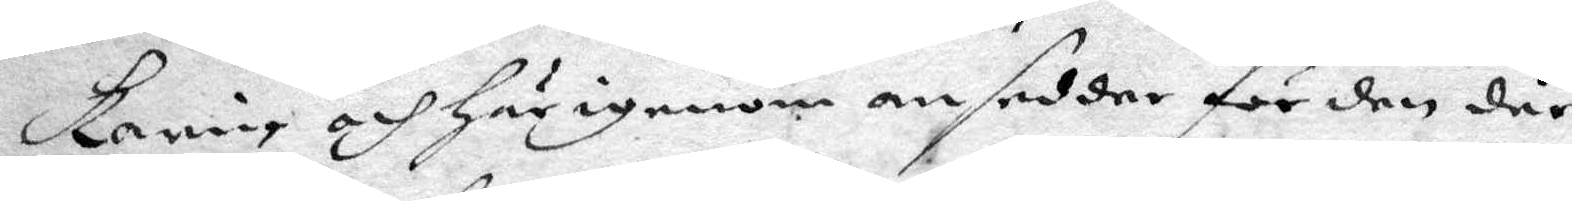Karin och härigenom ansedde för den där
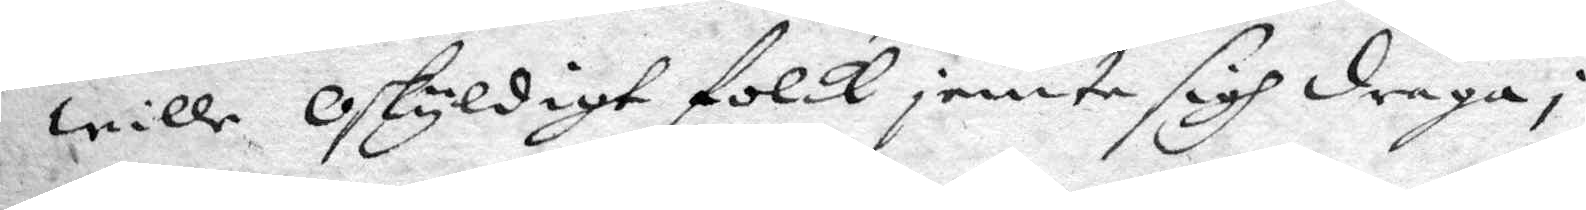wille oskyldigt folk jemte sigh draga i
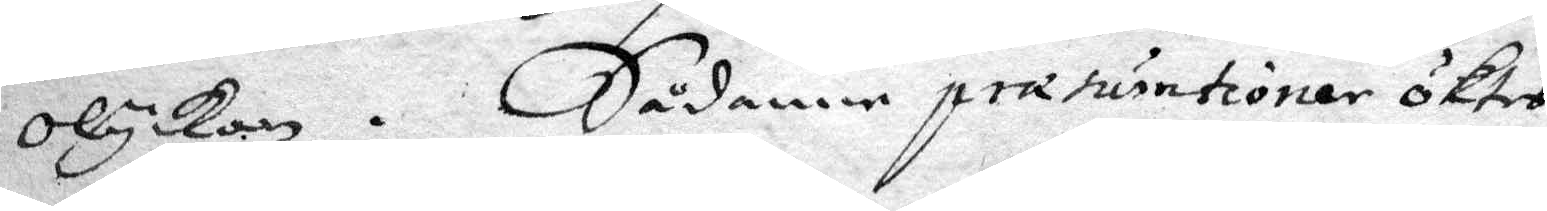olyckan. Sådane præturntioer öktes
